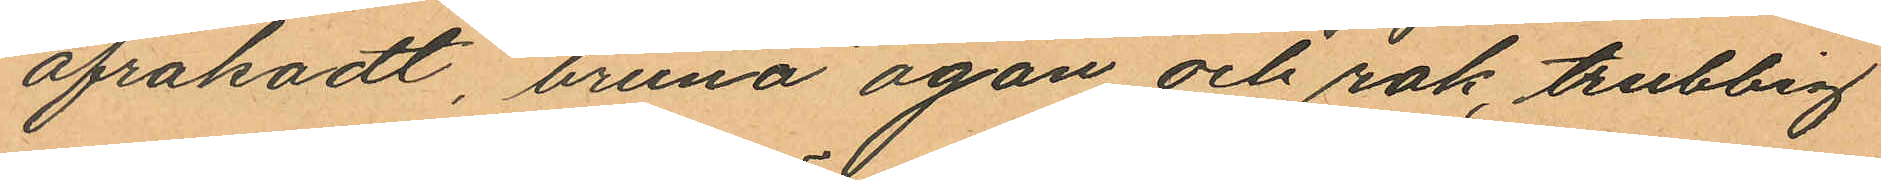afrakadt, bruna ögon och rak trubbig
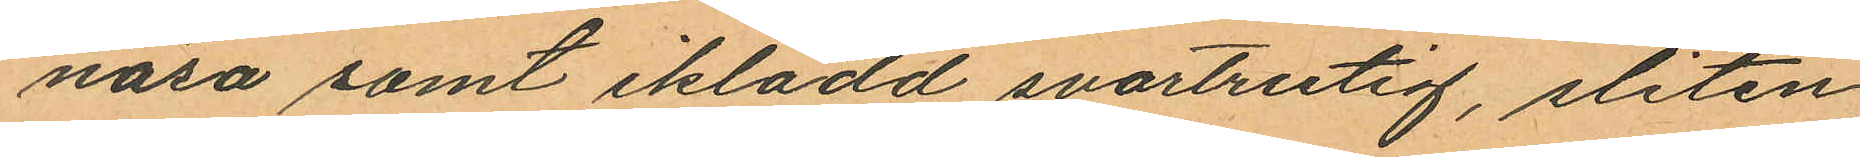näsa samt iklädd svartrutig, sliten
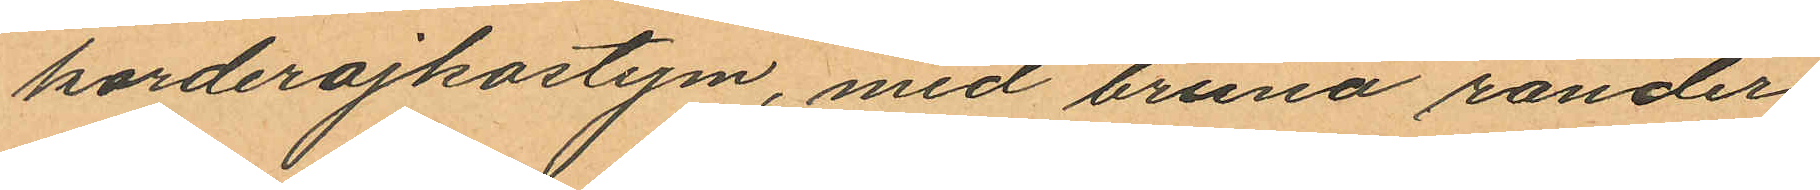korderojkostym, med bruna ränder
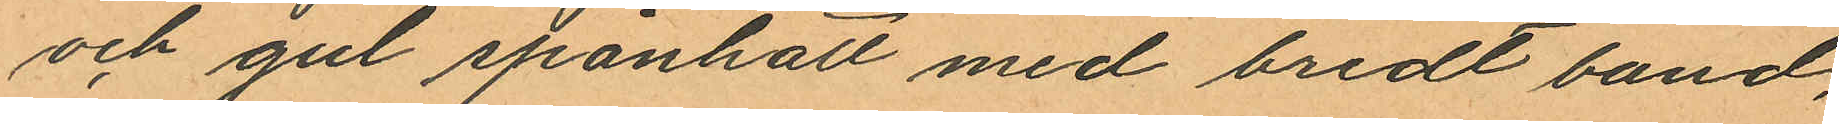och gul spånhatt med bredt band,
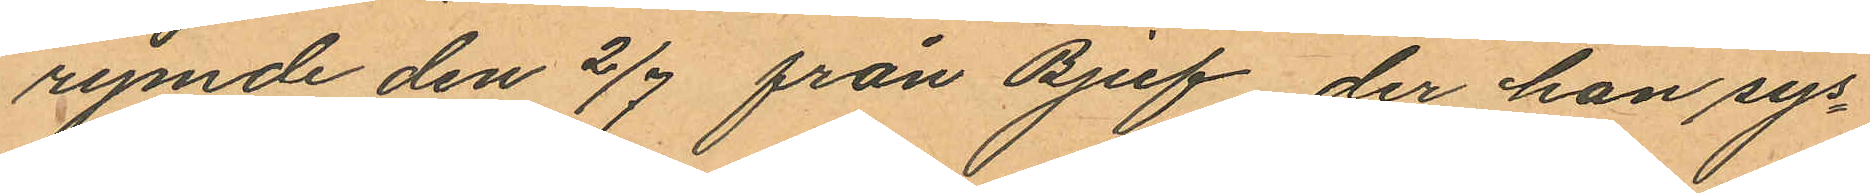rymde den 2/7 från Bjuf, der han sys¬
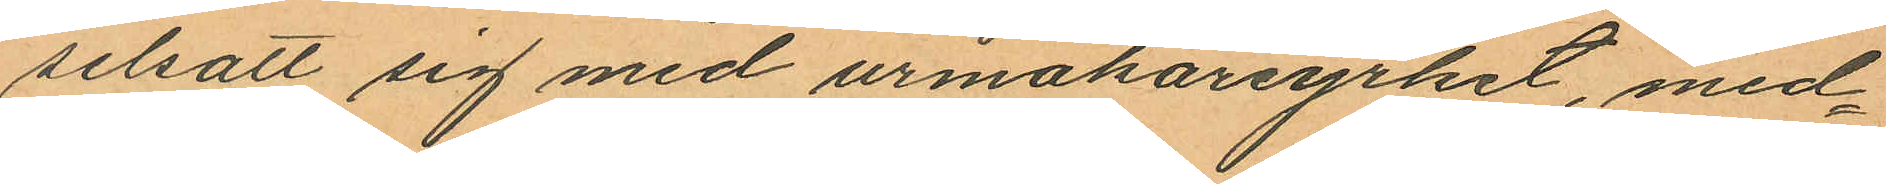selsatt sig med urmakareyrket, med¬
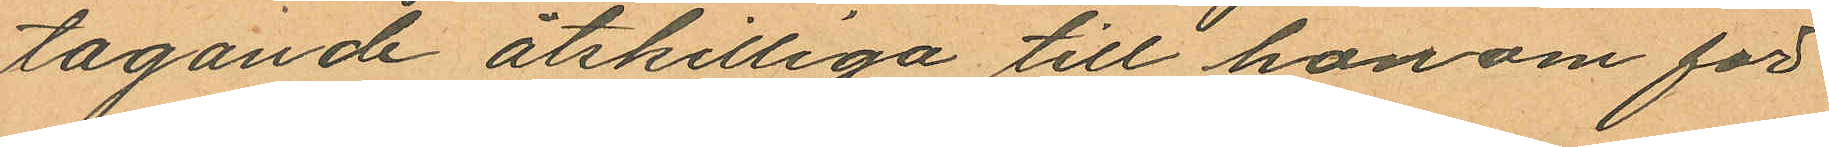tagande åtskilliga till honom för
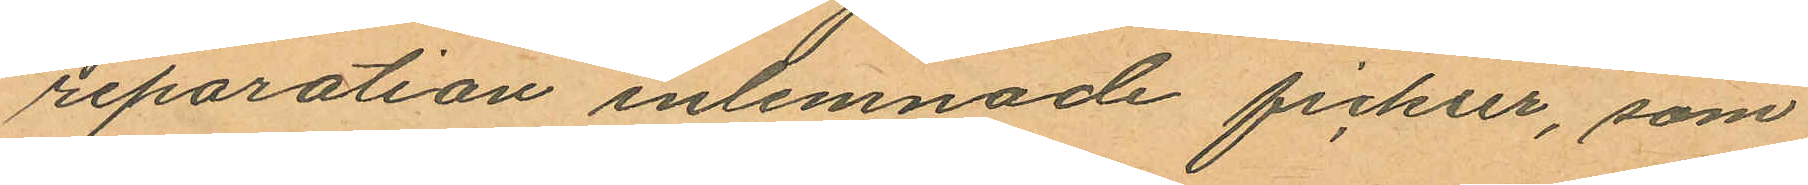reparation inlemnade fickur, som
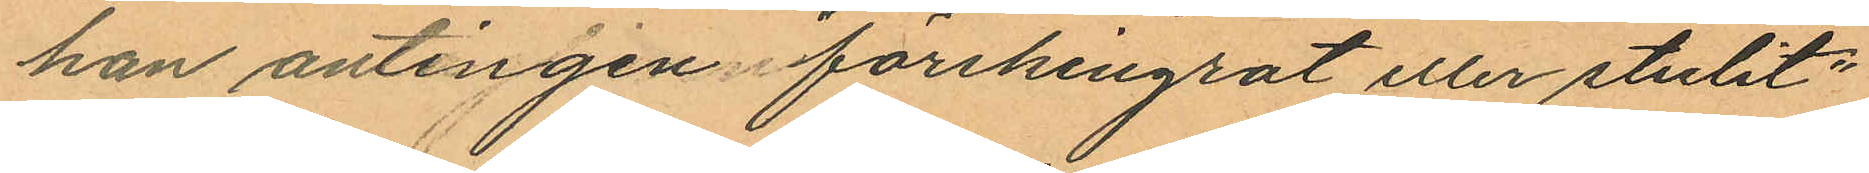han antingen förskingrat eller stulit:
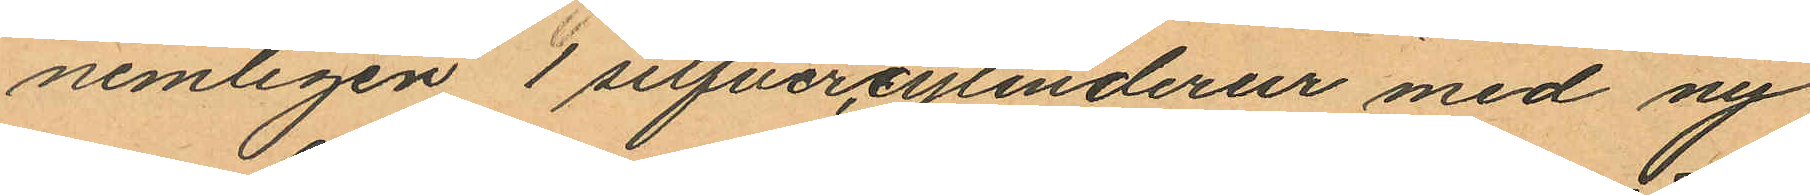nemligen 1 silfvercylinderur med ny
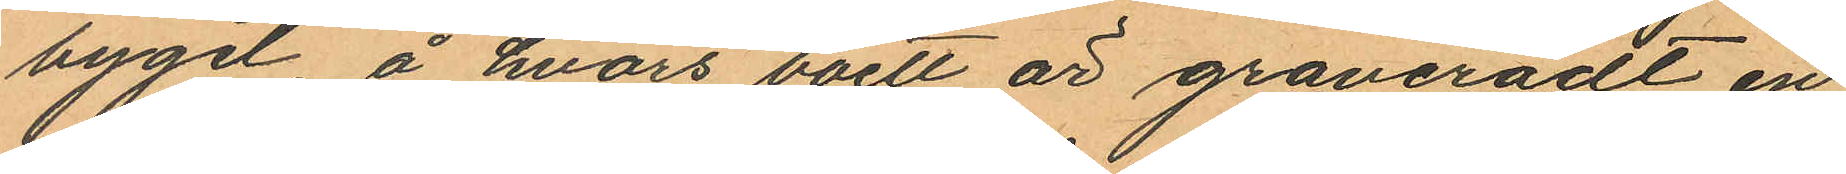bygel, å hvars boett är graveradt en
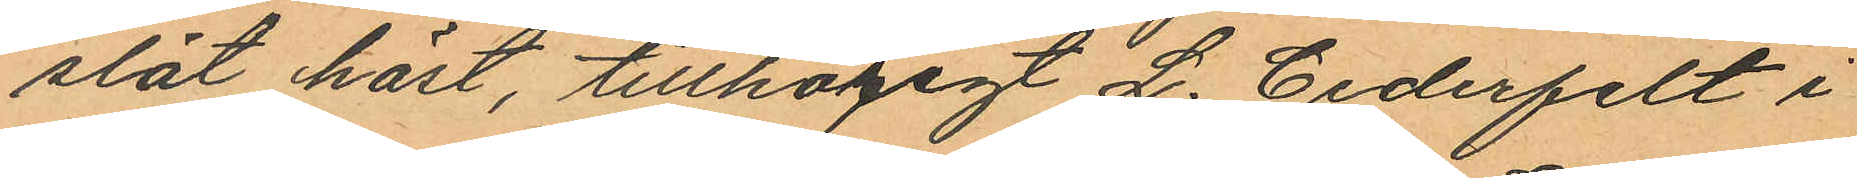slät häst, tillhörigt L. Cederfelt i
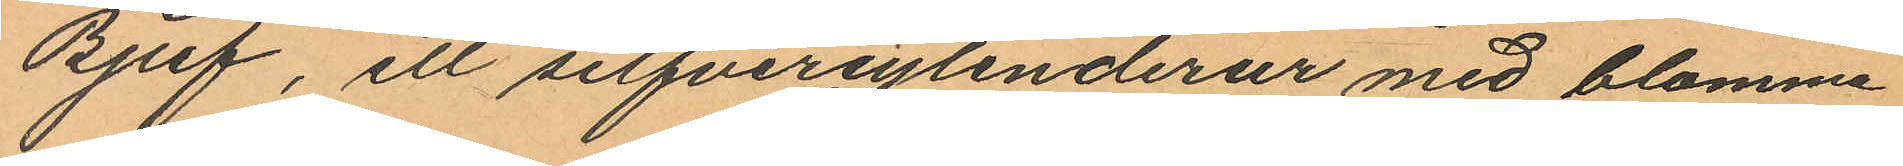Bjuf, ett silfvercylinderur med blomma
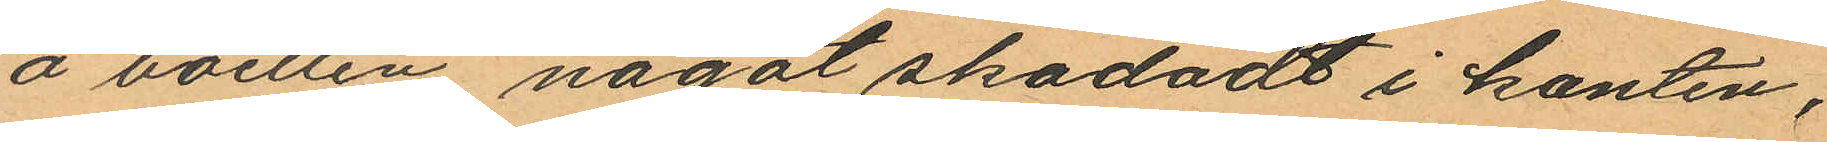å boetten något skadadt i kanten;
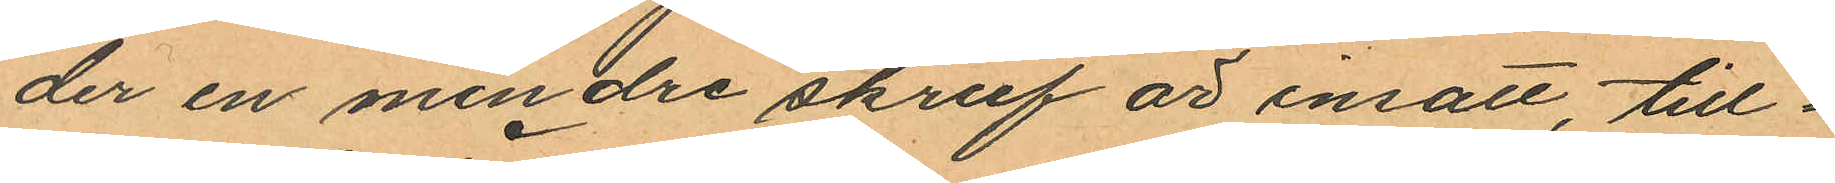der en mindre skruf är insatt, till¬
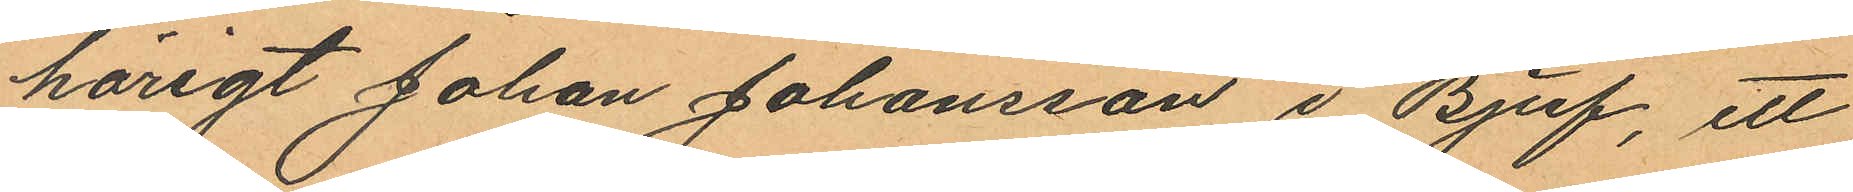hörigt Johan Johansson i Bjuf, ett
